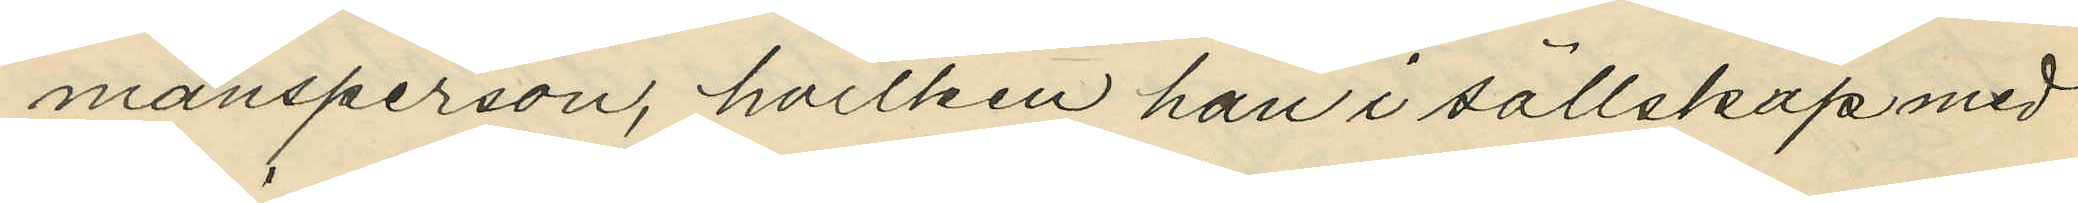mansperson, hvilken han i sällskap med
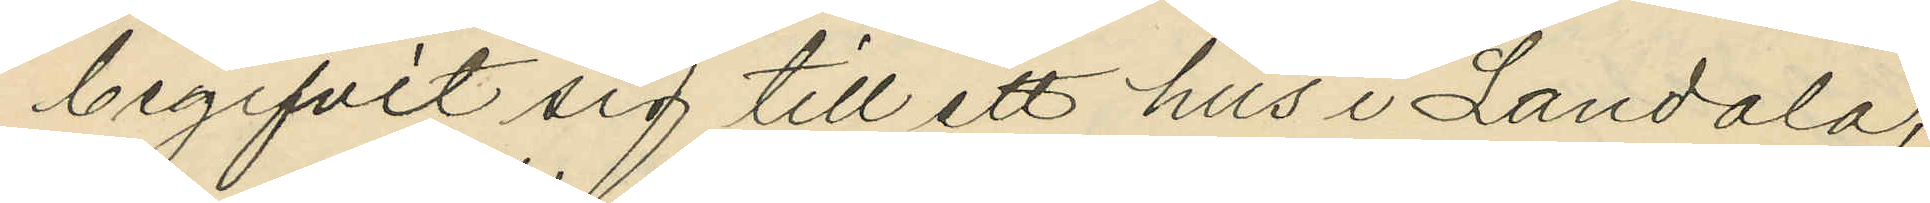begifvit sig till ett hus i Landala,
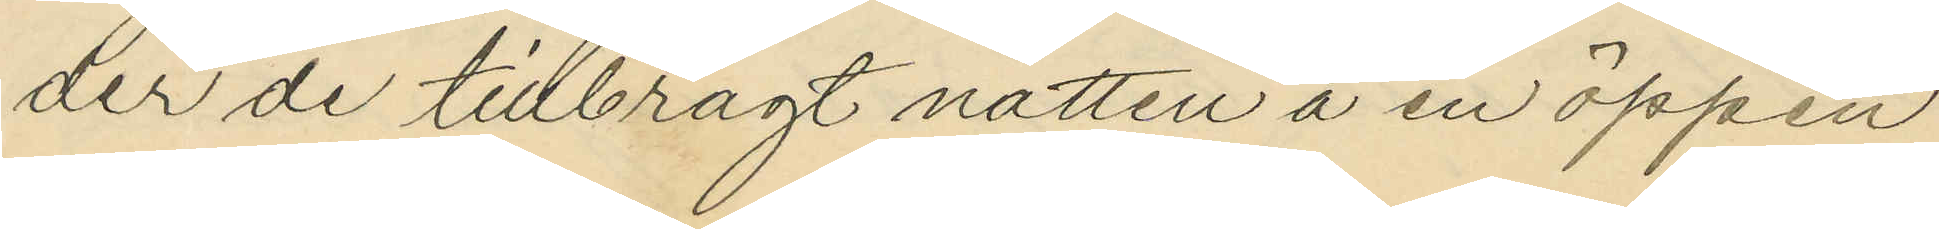der de tillbragt natten å en öppen
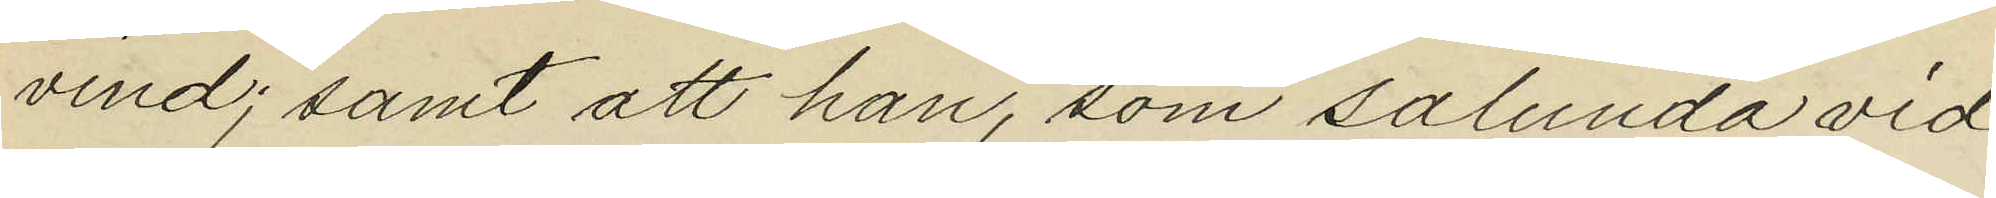vind; samt att han, som sålunda vid
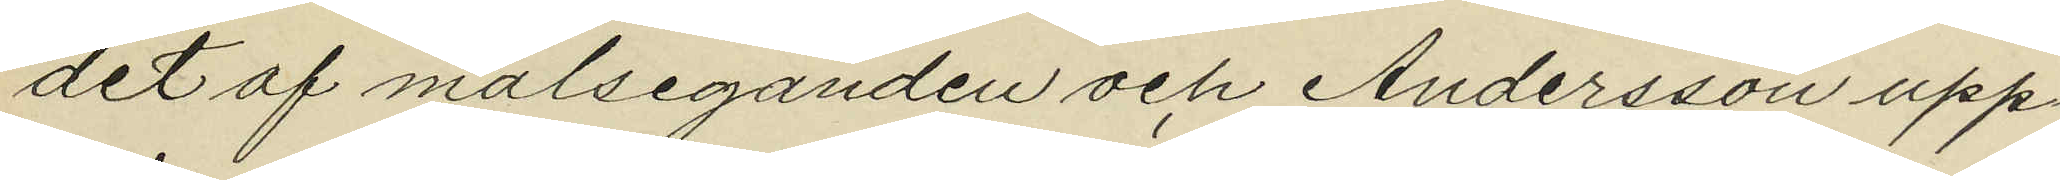det af målseganden och Andersson upp¬
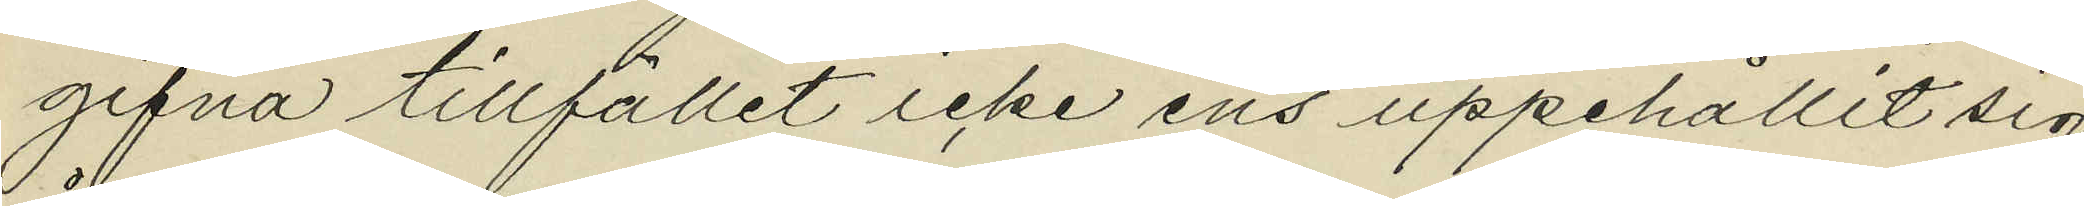gifna tillfället icke ens uppehållit sig
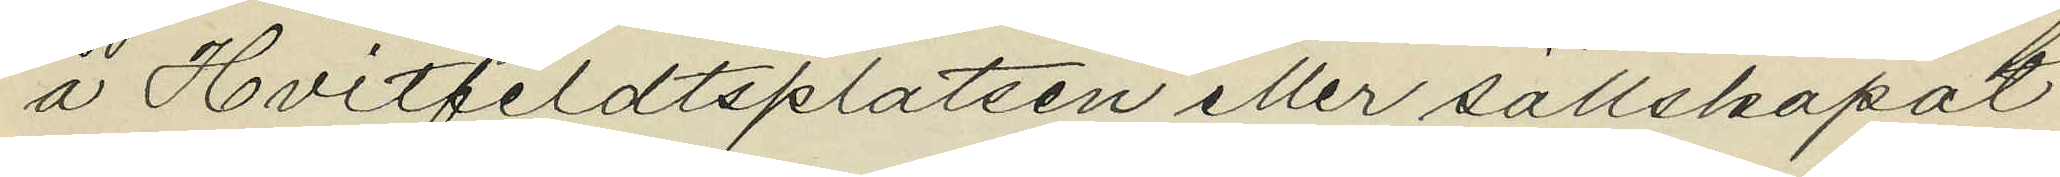å Hvitfeldtsplatsen eller sällskapat
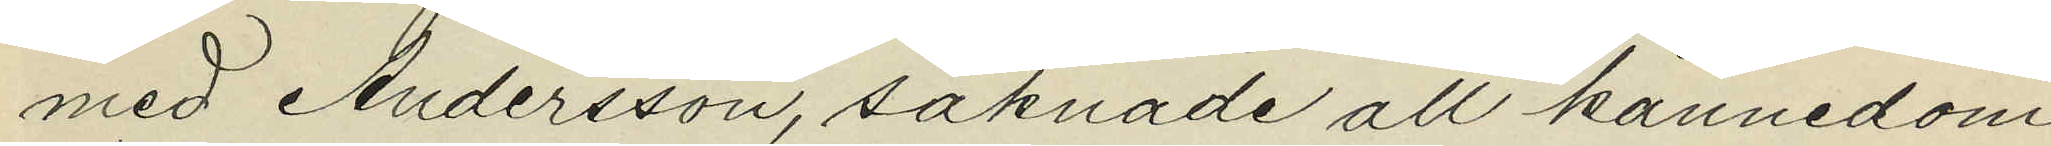med Andersson, saknade all kännedom
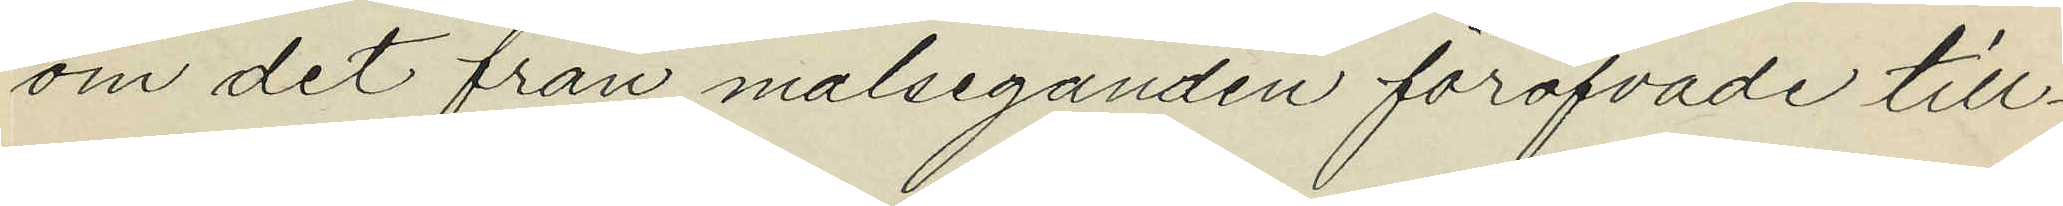om det från målseganden föröfvade till¬
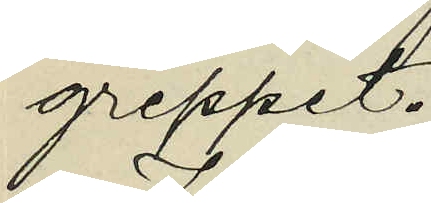greppet.
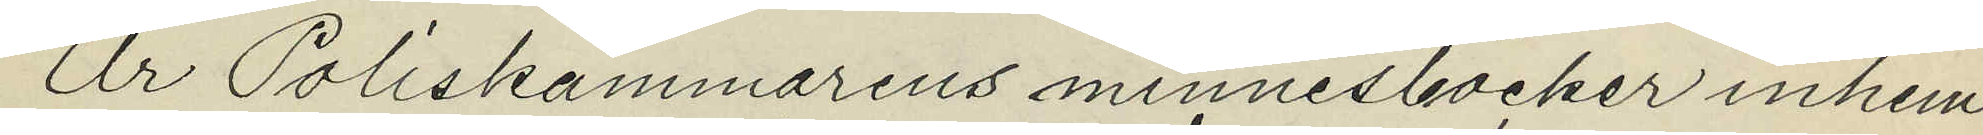Ur Poliskammarens minnesböcker inhem¬
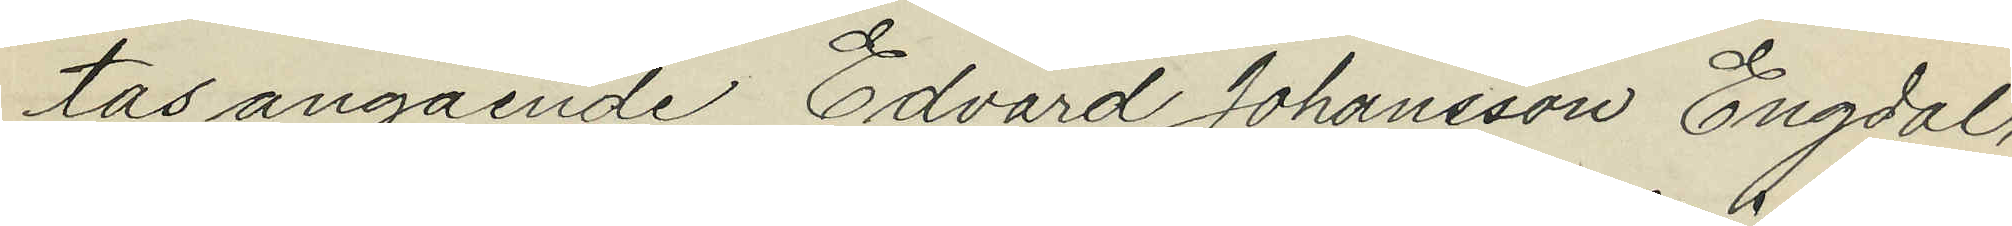tas angående Edvard Johansson Engdal,
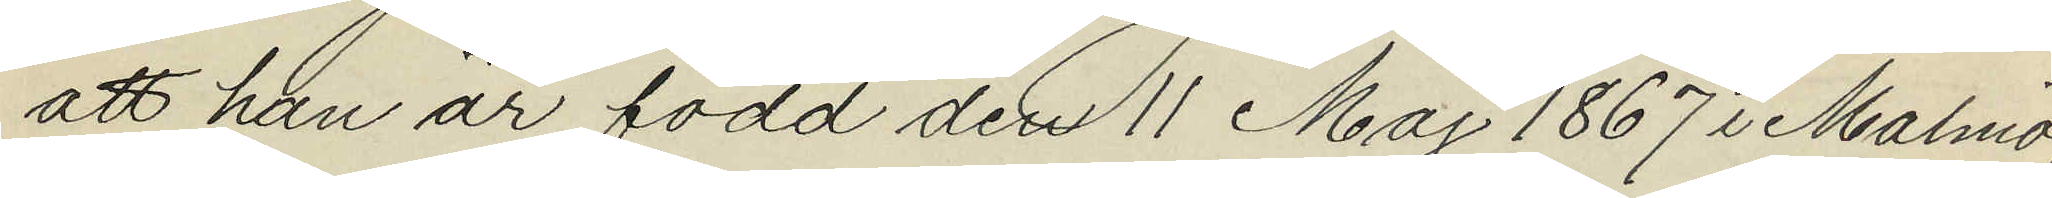att han är född den 11 Maj 1867 i Malmö;
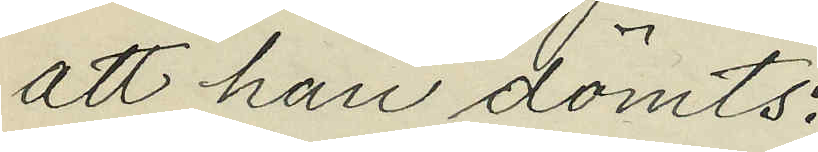att han dömts:
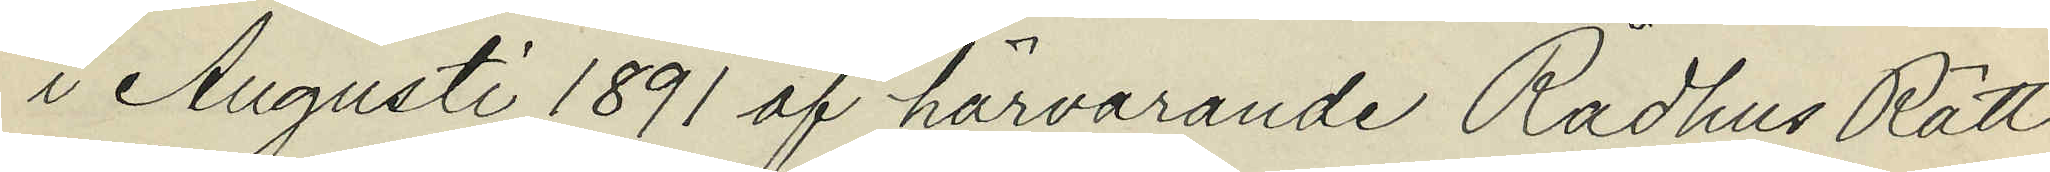i Augusti 1891 af härvarande Rådhus Rätt
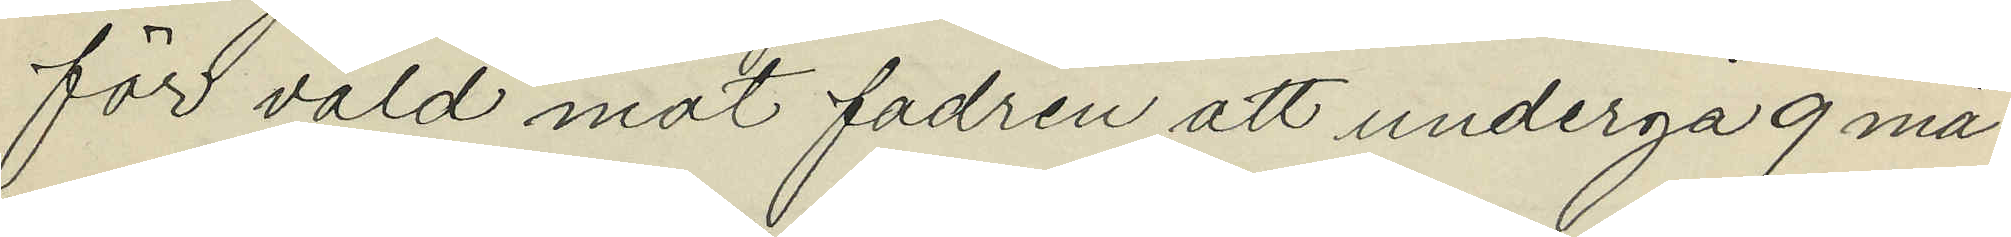för våld mot fadren att undergå 9 må¬
